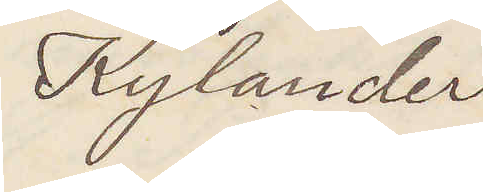Kylander
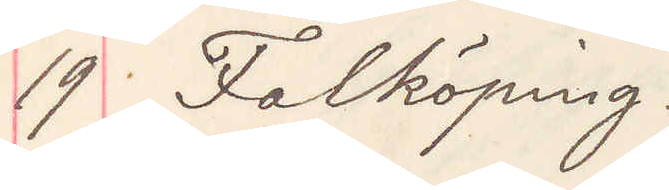19 Falköping
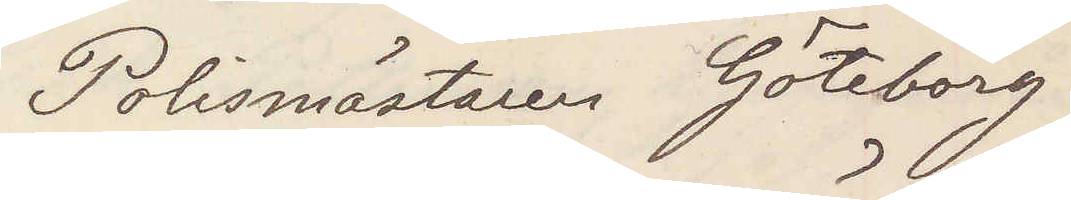Polismästaren Göteborg
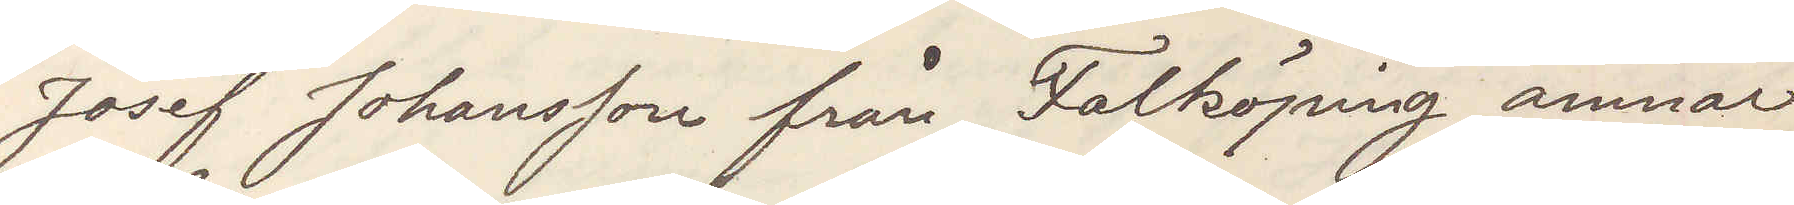Josef Johansson från Falköping ämnar
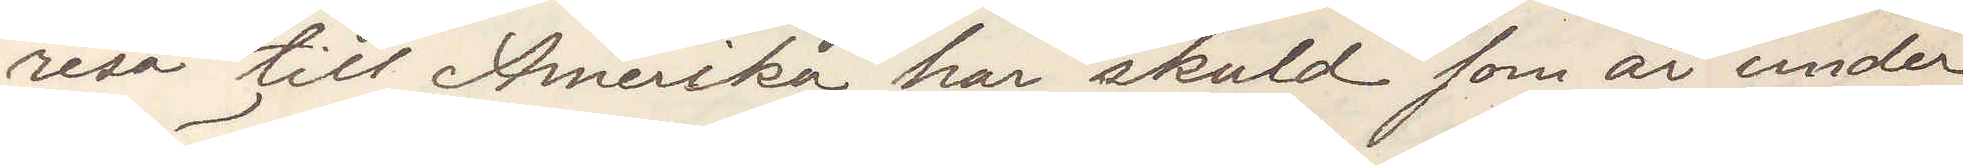resa till Amerika har skuld som är under
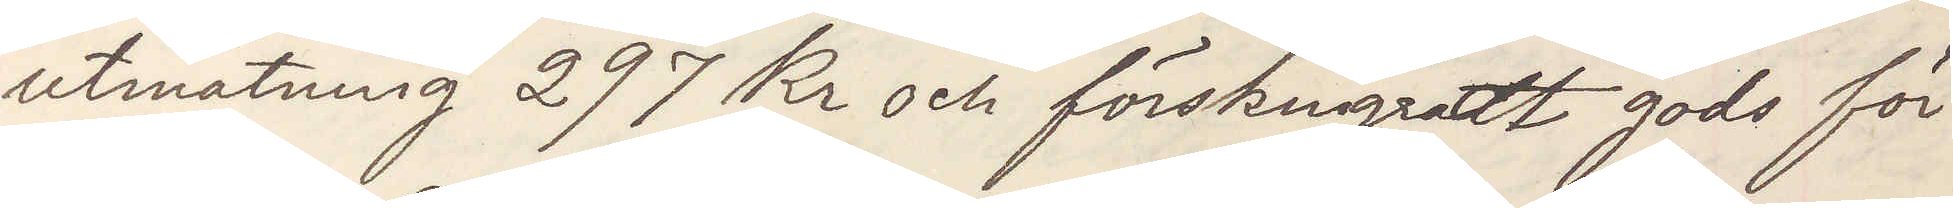utmätning 297 Kr och förskingradt gods för
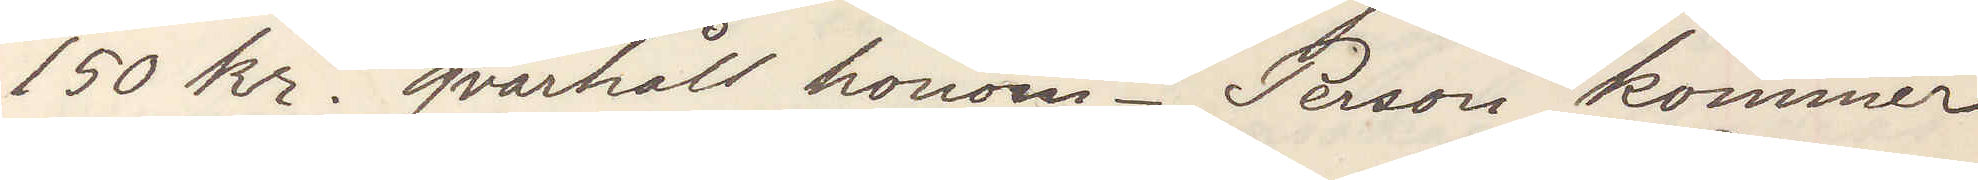150 kr. qvarhåll honom. Person kommer
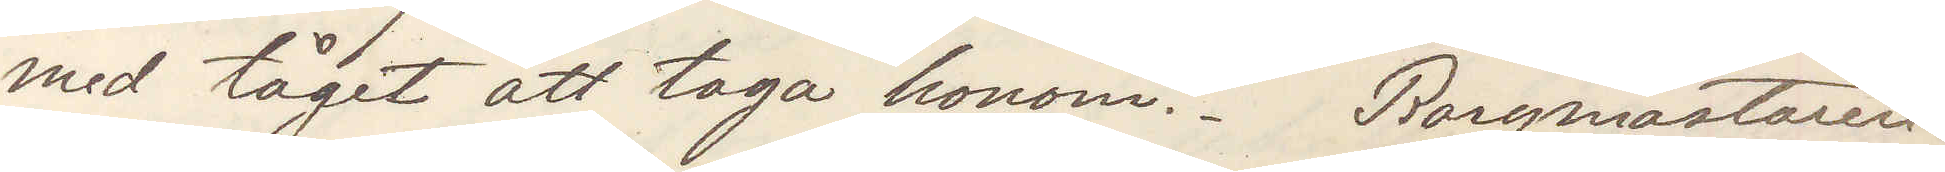med tåget att taga honom. Borgmästaren
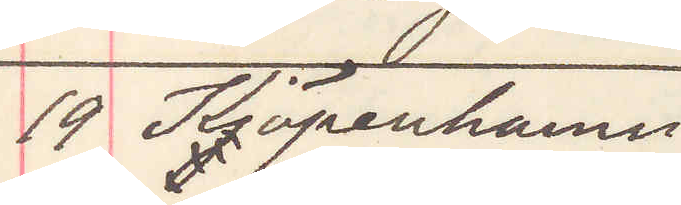19 Köpenhamn
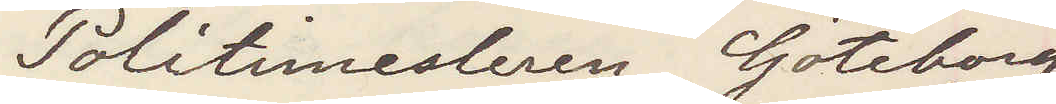Politimesteren Göteborg
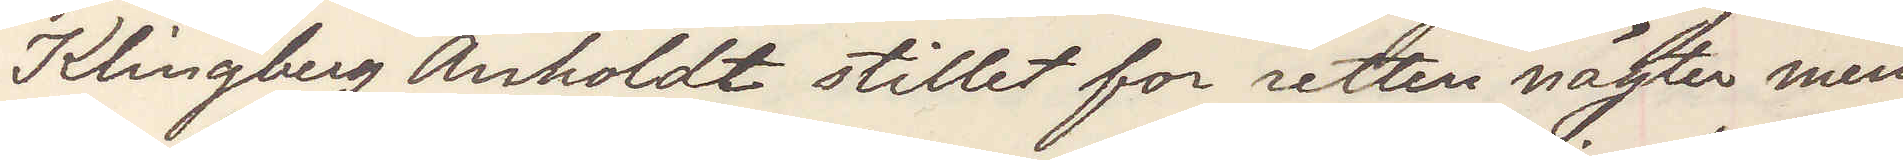Klingberg Anholdt stillet for retten någter men
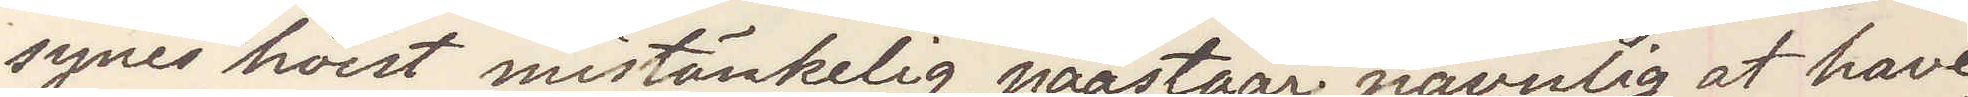synes höist mistänkelig paastaar naemlig at have
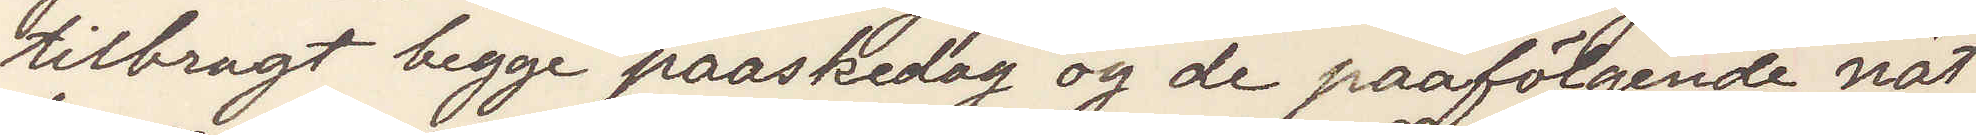tilbragt begge paaskedag og de paafölgende nät¬
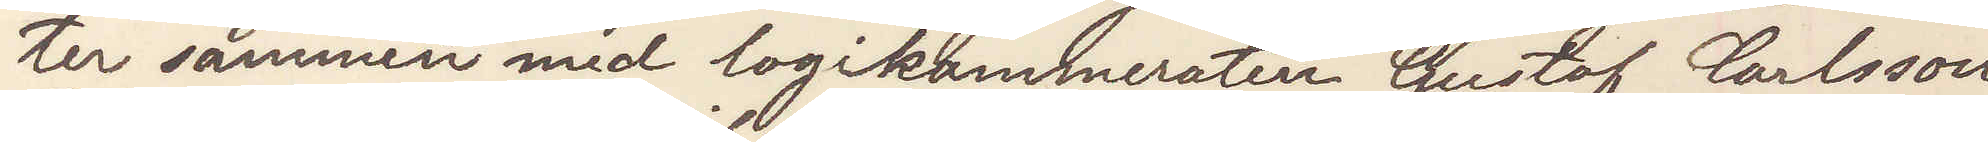ter sammen med logikammeraten Gustaf Carlsson
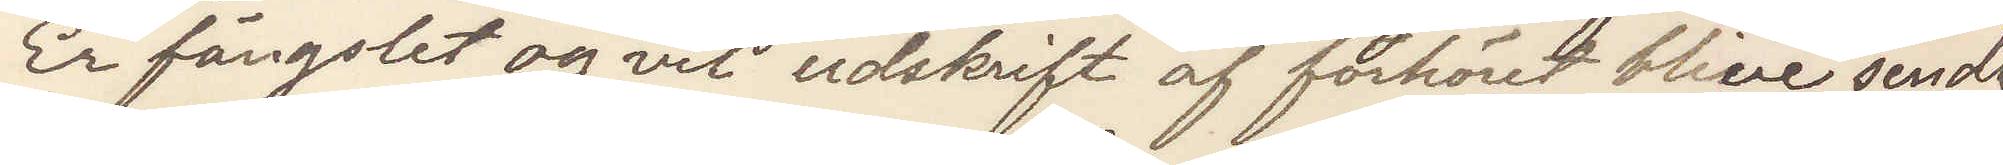Er fängslet og vid udskrift af forhöret blive sendt
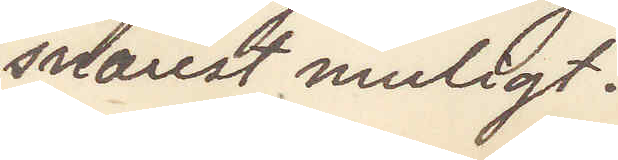snarest muligt.
